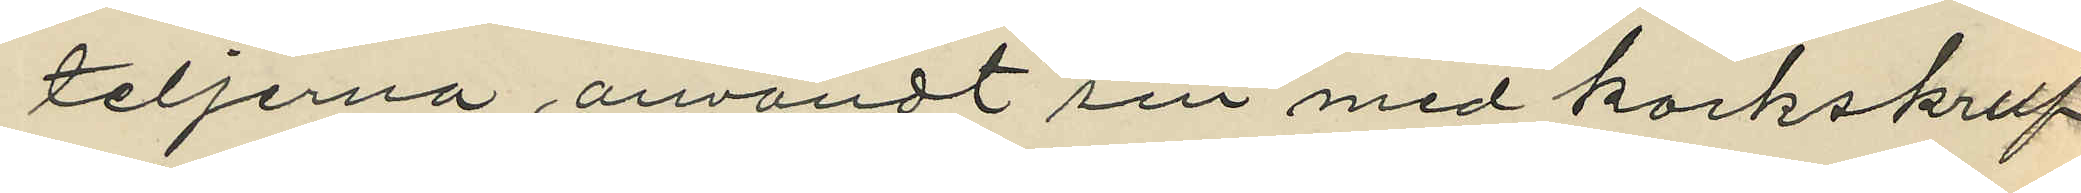teljerna användt sin med korkskruf
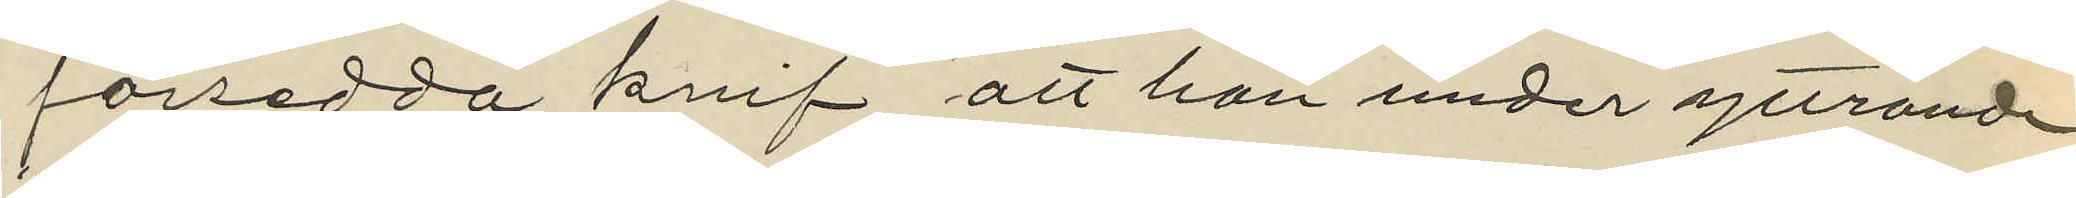försedda knif att han under yttrande
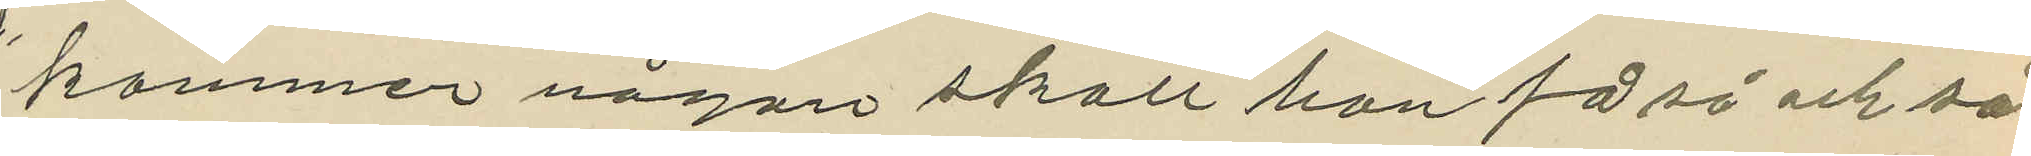"kommer någon skall han få så och så"
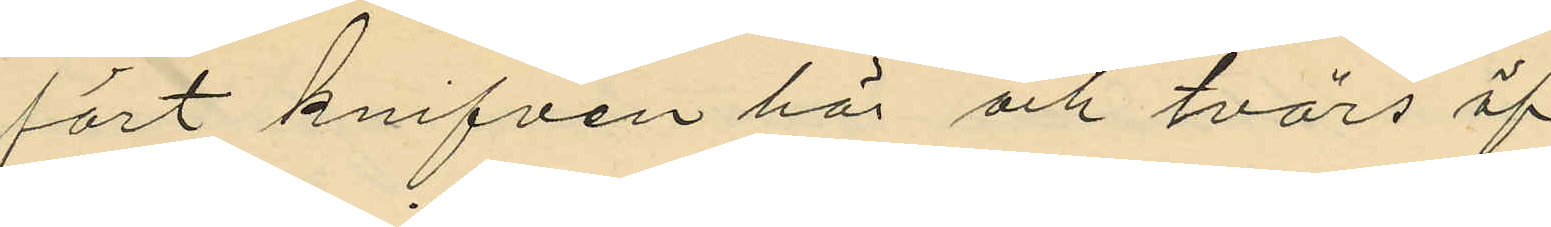fört knifven här och tvärs öf¬
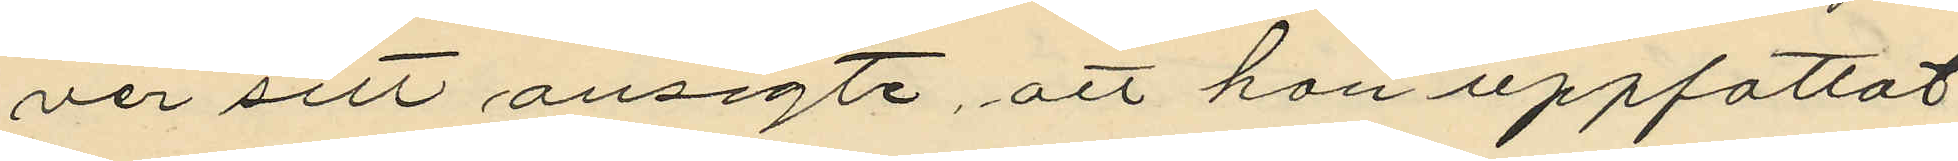ver sitt ansigte, att hon uppfattat
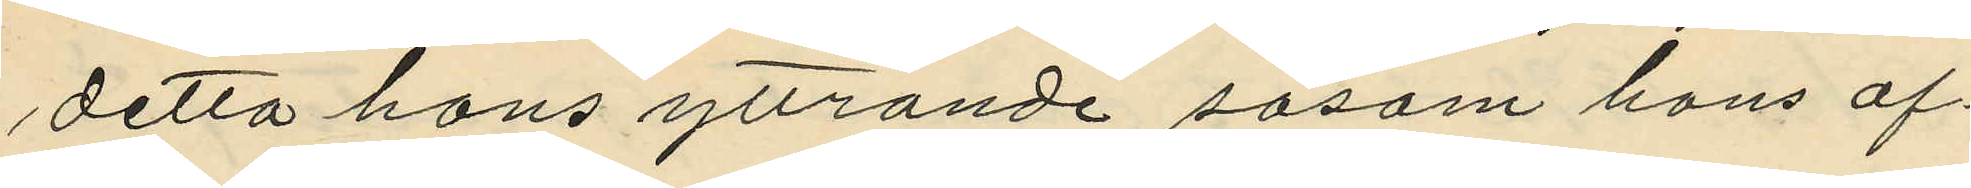detta hans yttrande såsom hans af¬
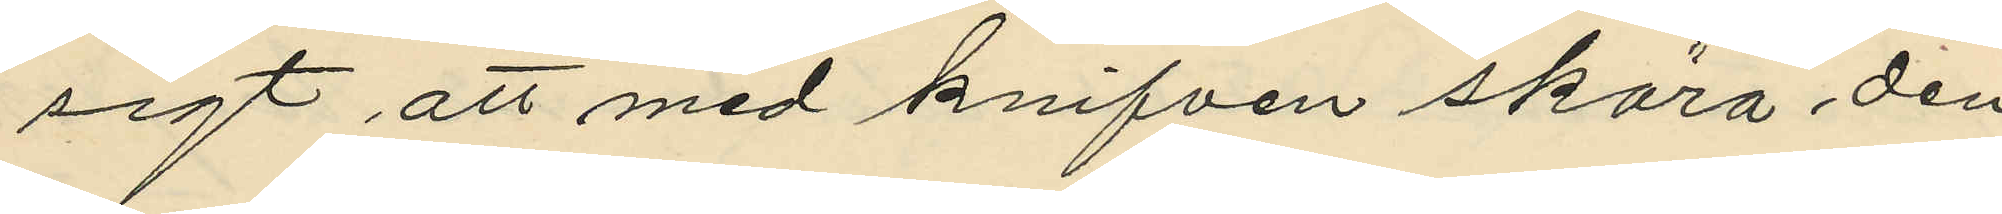sigt att med knifven skära den
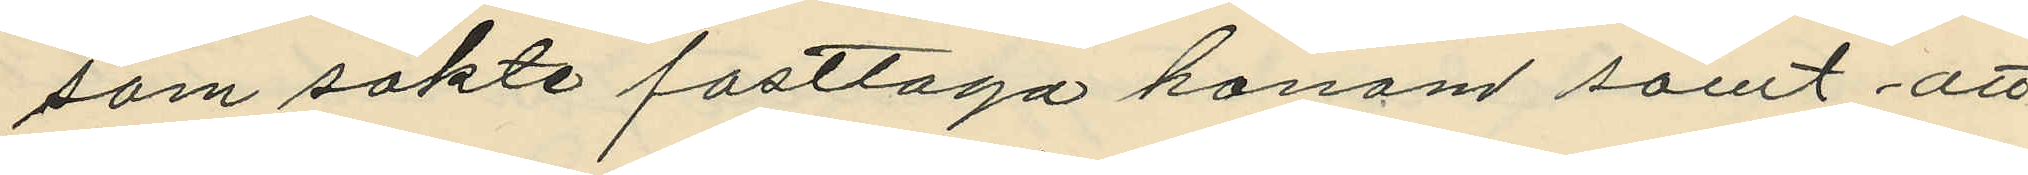som sokte fasttaga honom samt att
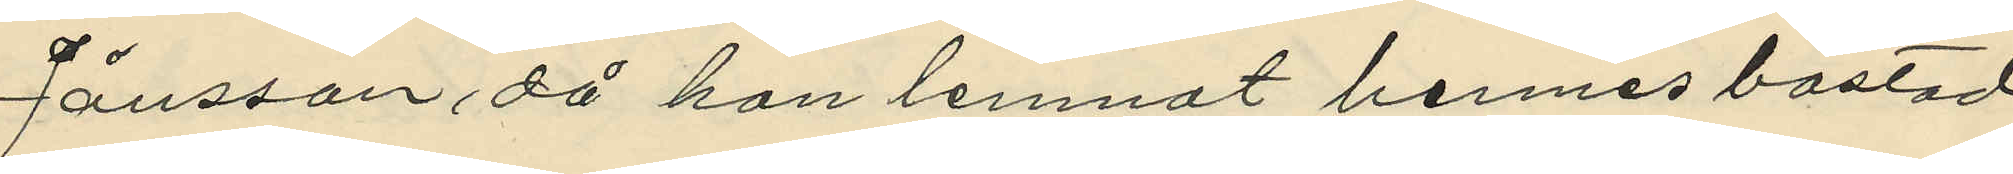Jönsson då han lemnat hennes bostad
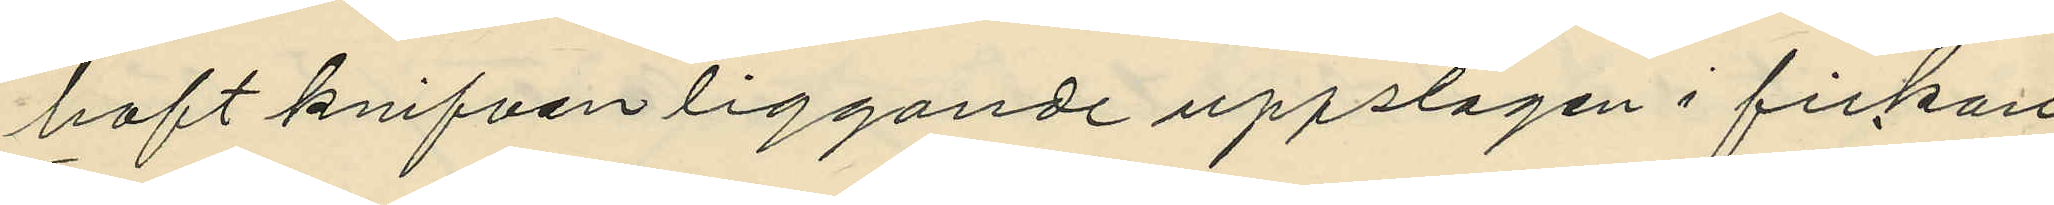haft knifven liggande uppslagen i fickan
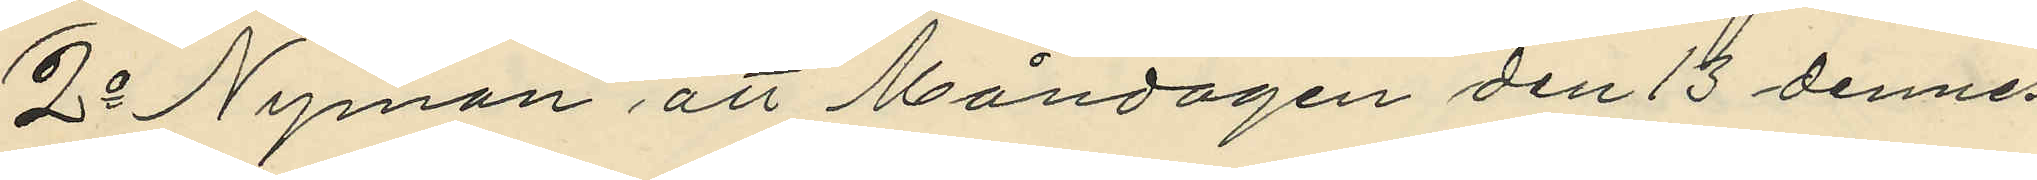2o Nyman att Måndagen den 13 dennes
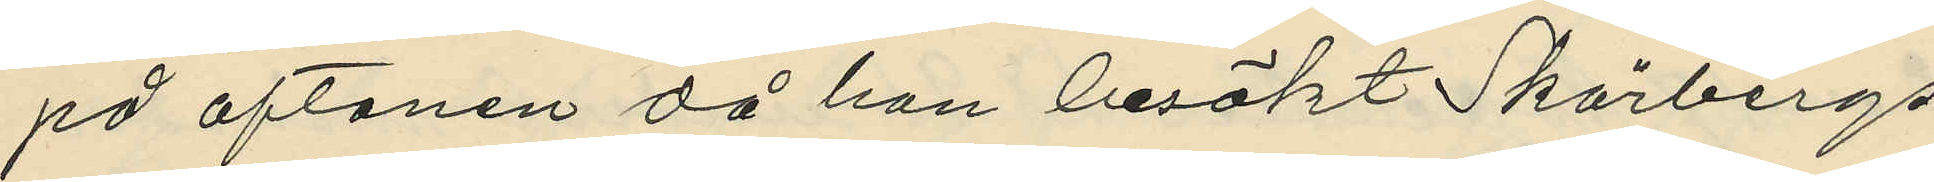på aftonen då hon besökt Skärbergs
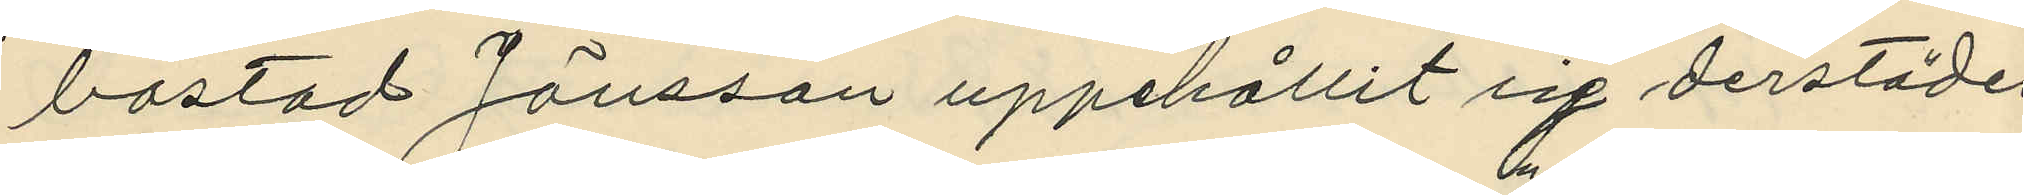bostad Jönsson uppehållit sig derstädes
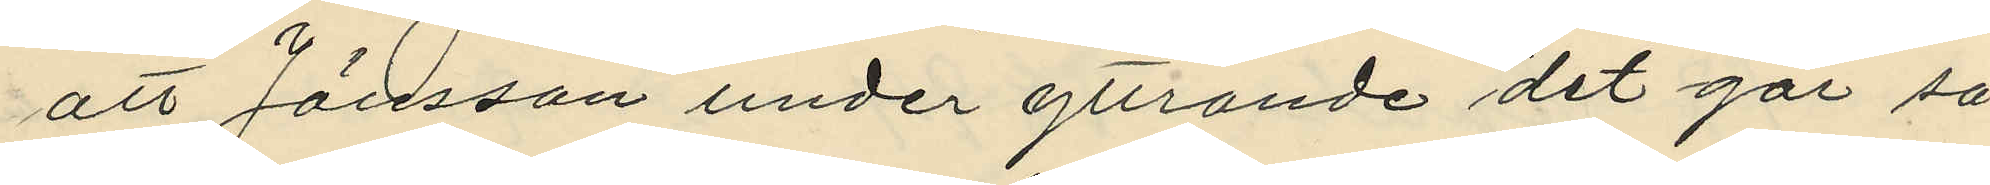att Jönsson under yttrande "det går så
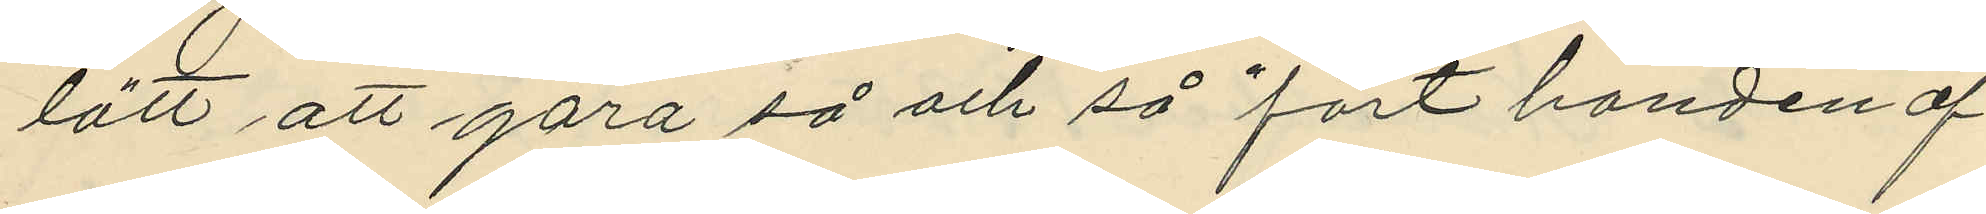lätt att göra så och så" fört handen öf¬
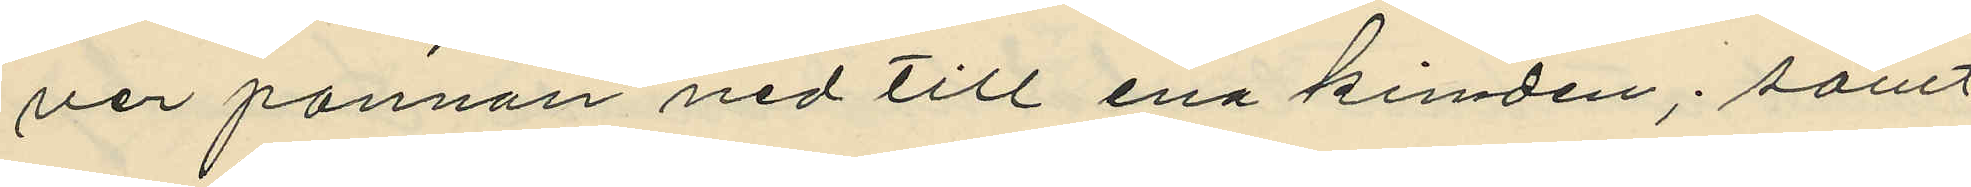ver pannan ned till ena kinden; samt
